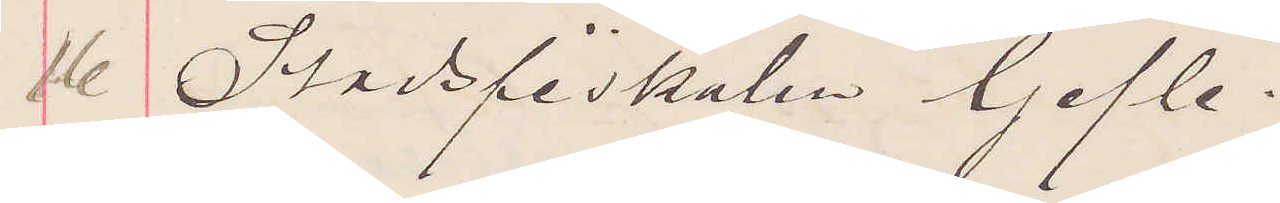16 Stadsfiskalen Gjefle.
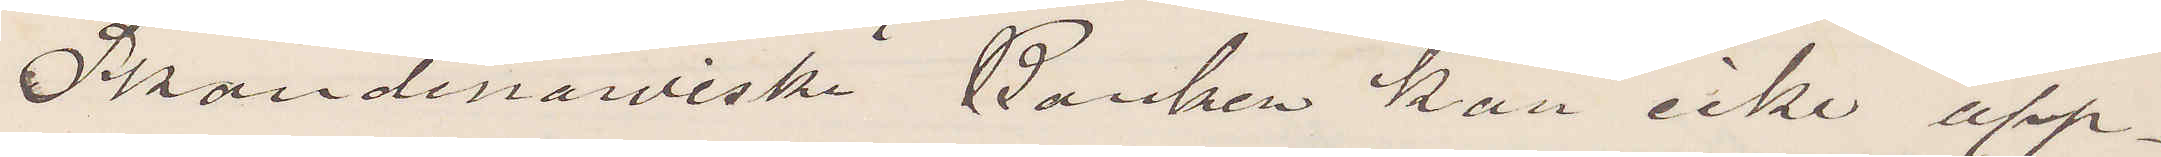Skandinawiska Banken kan icke upp¬
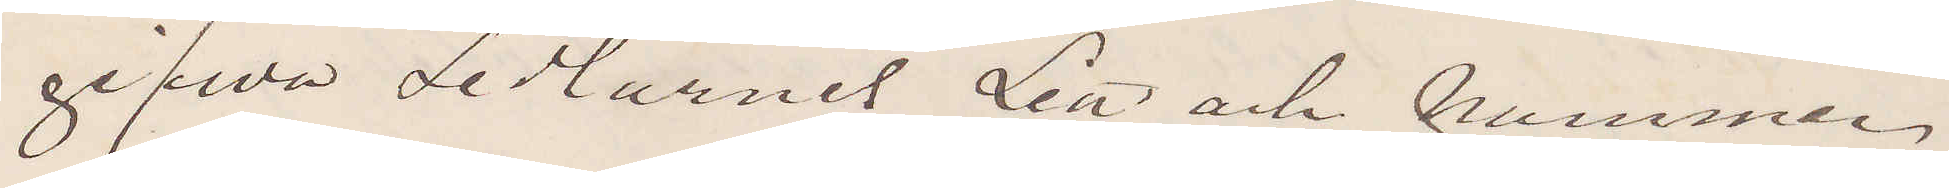gifwa Sedlarnes Litt och nummer
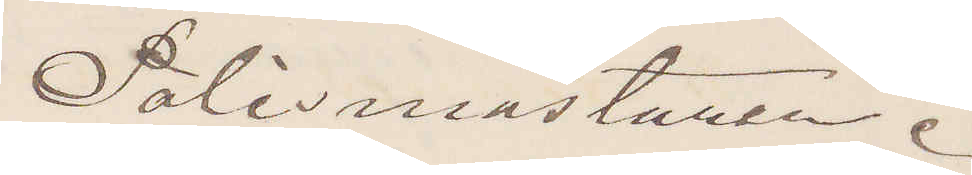Polismästaren.
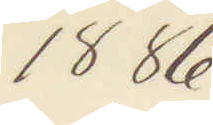1886
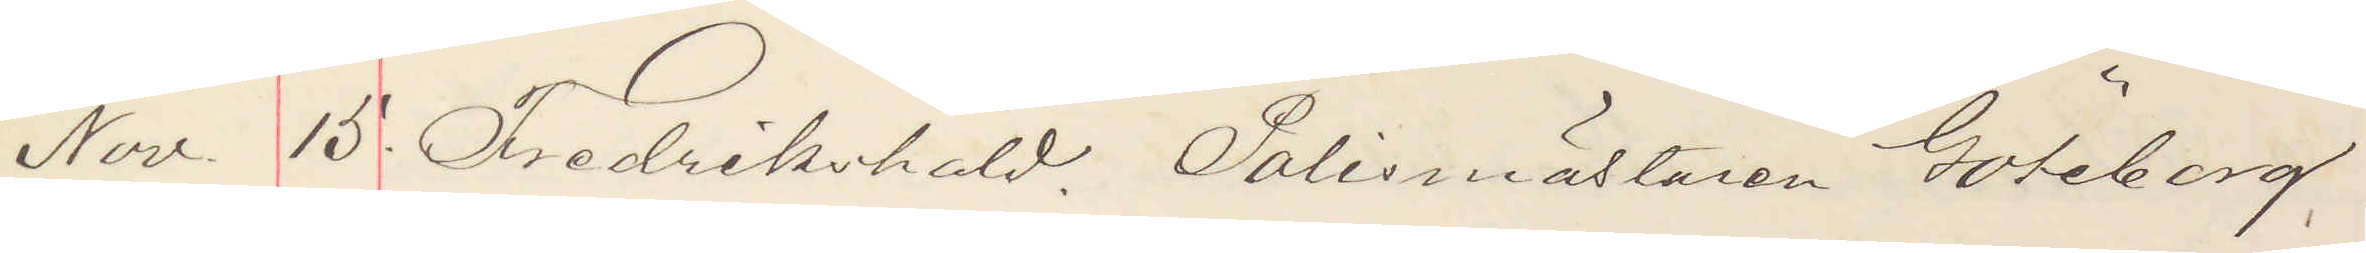Nov. 15. Fredrikshald Polismästaren Göteborg.
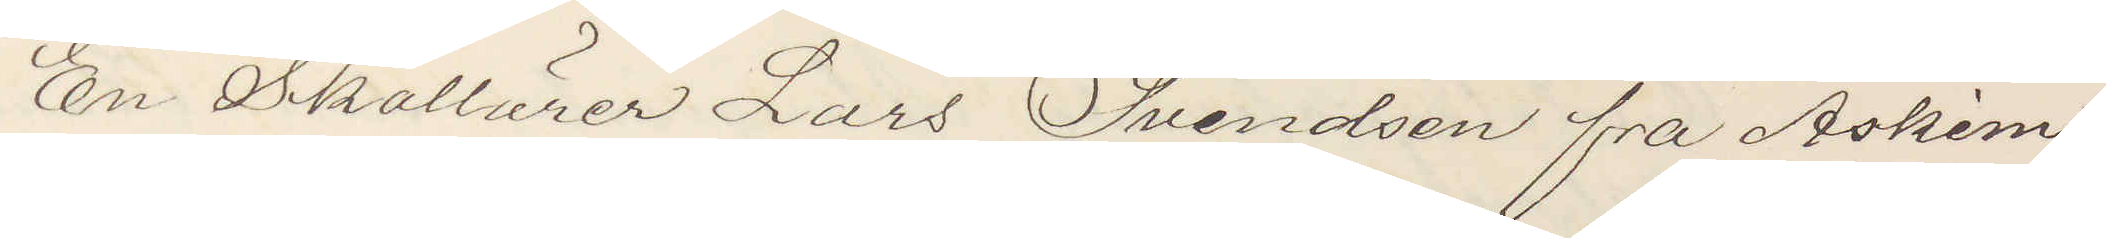En Skollärer Lars Svendsen fra Askim
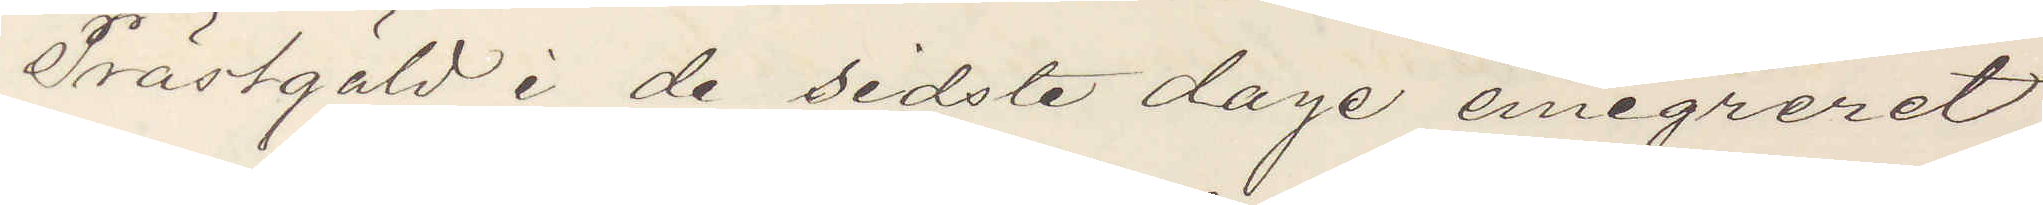Prästgäld i de sidste dage emigreret
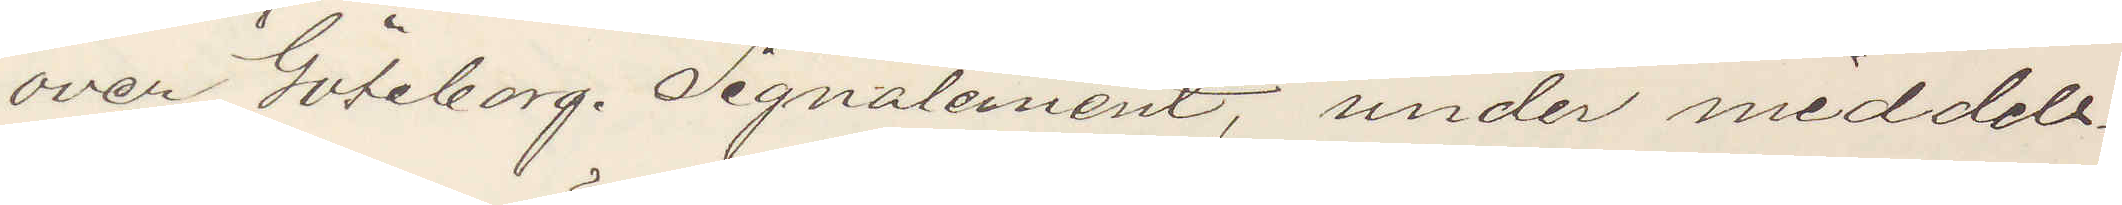over Göteborg. Signalement, under meddels¬
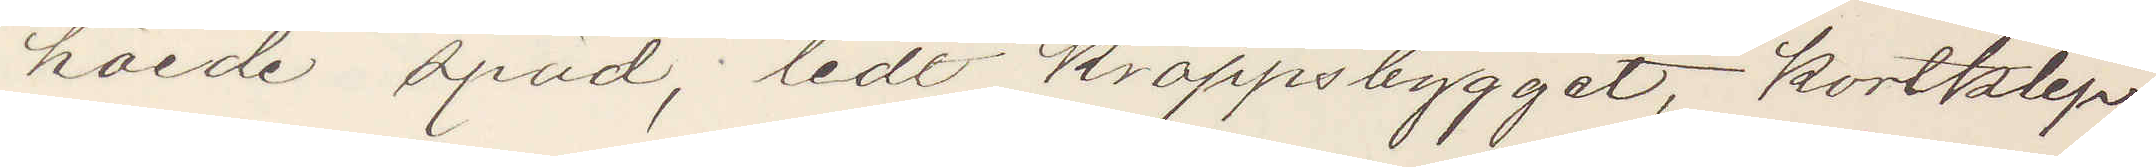höide späd, lidt kroppsbygget, kortklip¬
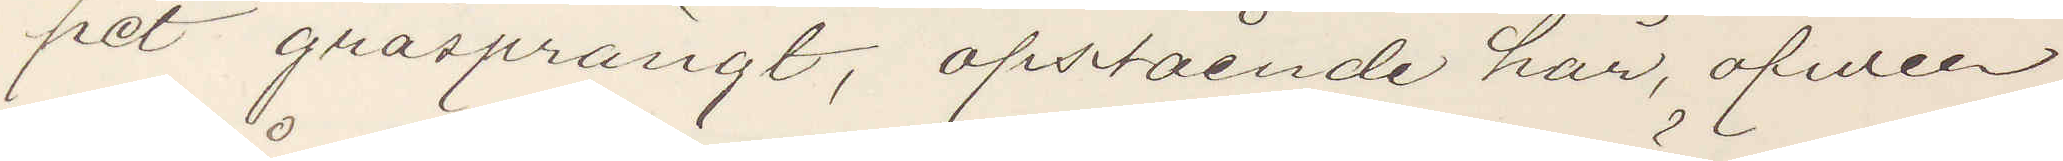pet gråsprängt, opstående hår, öfver
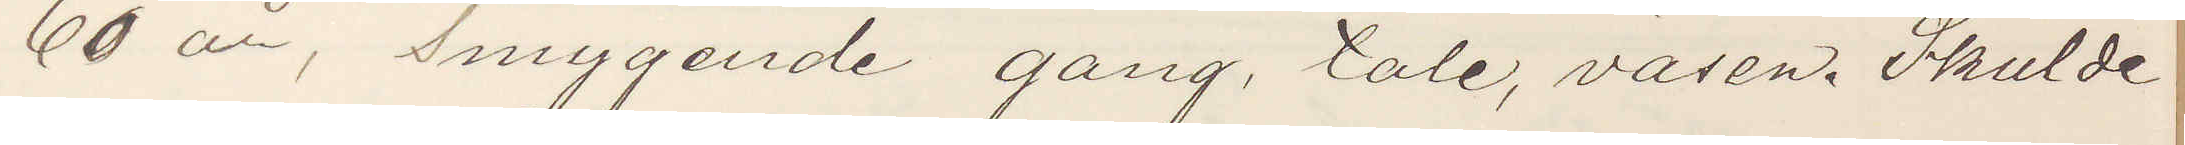60 år, Smygende gang, tale, väsen. Skulde
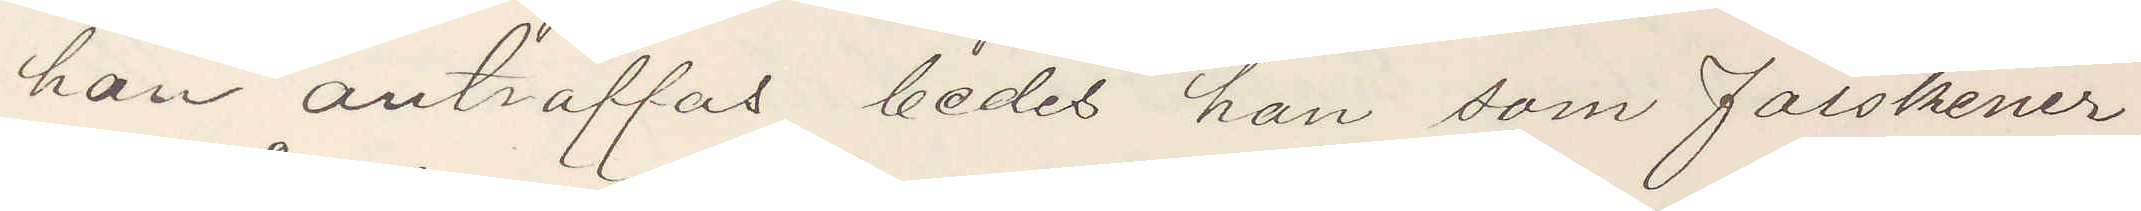han anträffas bedes han som falskener
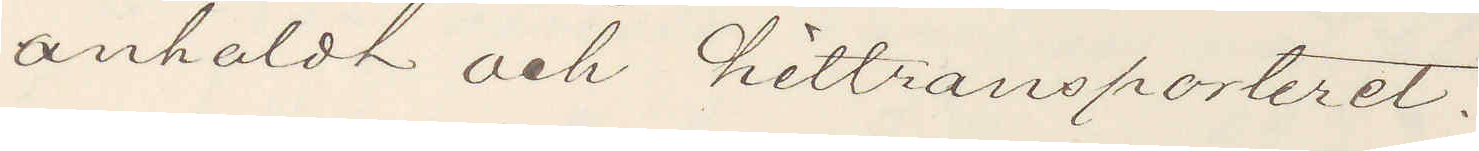anhåldt och hittransporteret.
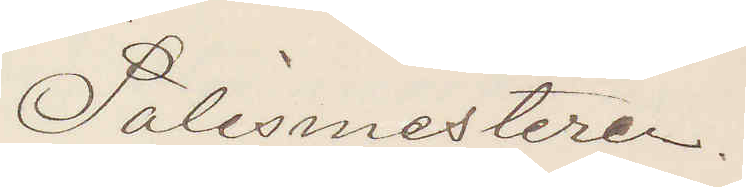Polismesteren.
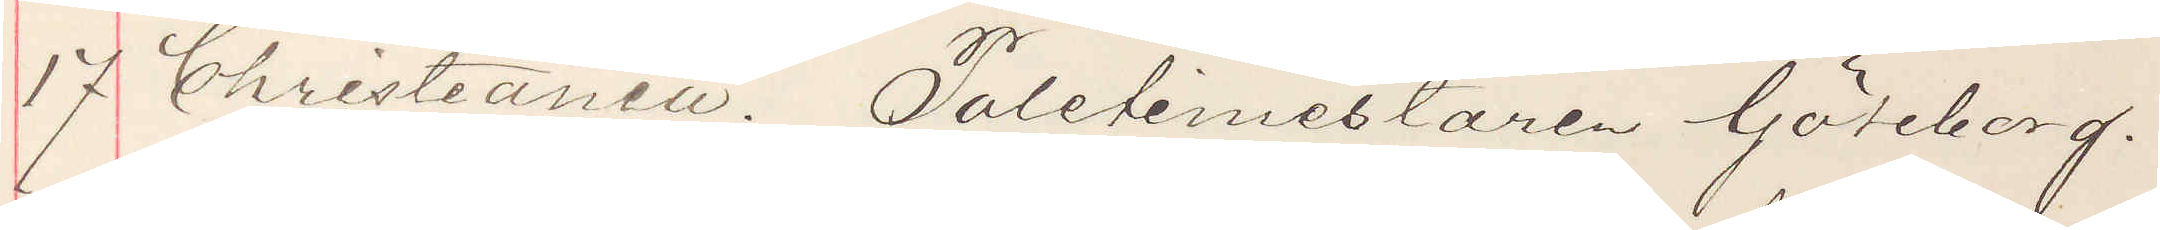17 Christiania. Poletimestaren Göteborg.
